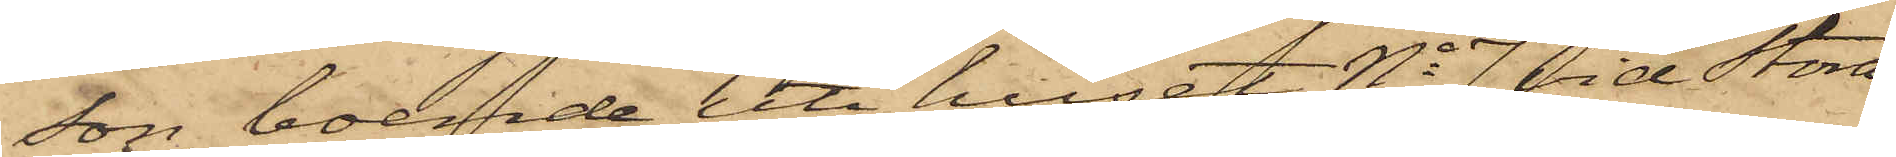son, boende uti huset No 7 vid Stora
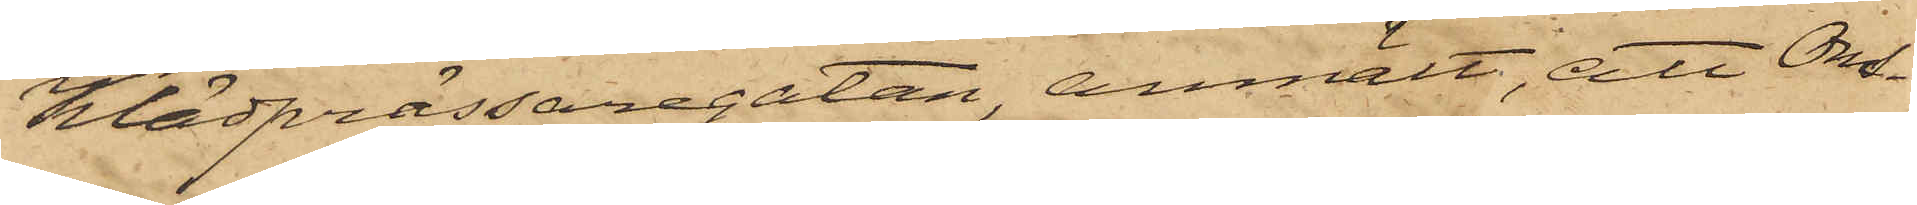Klädprässaregatan, anmält, att Ons¬
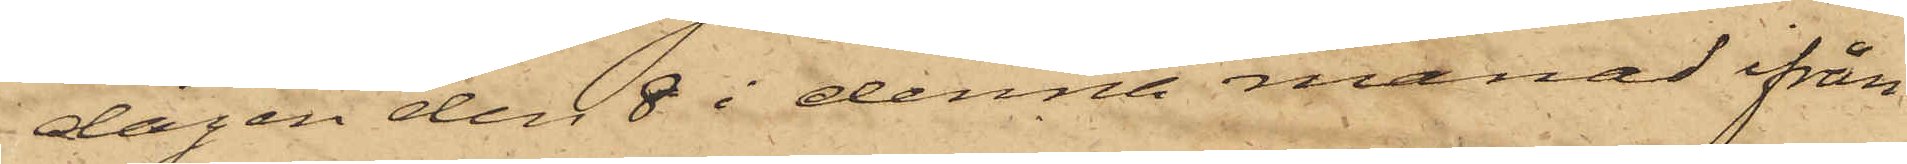dagen den 8 i denna månad ifrån
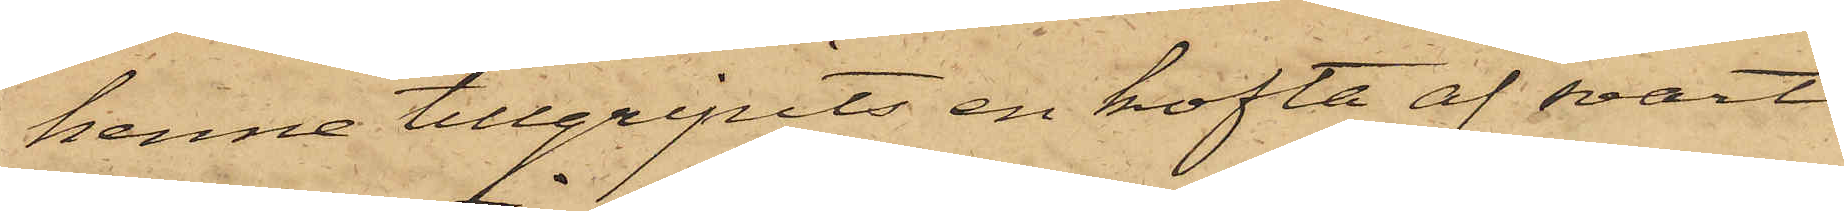henne tillgripits en kofta af svart
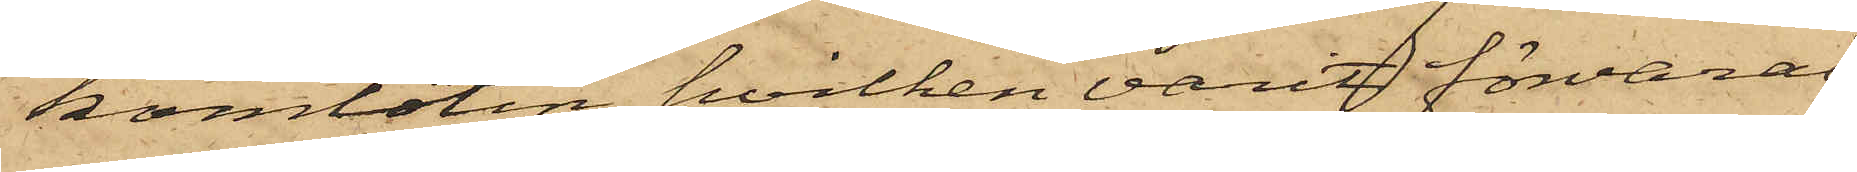kamlotin, hvilken varit förvarad
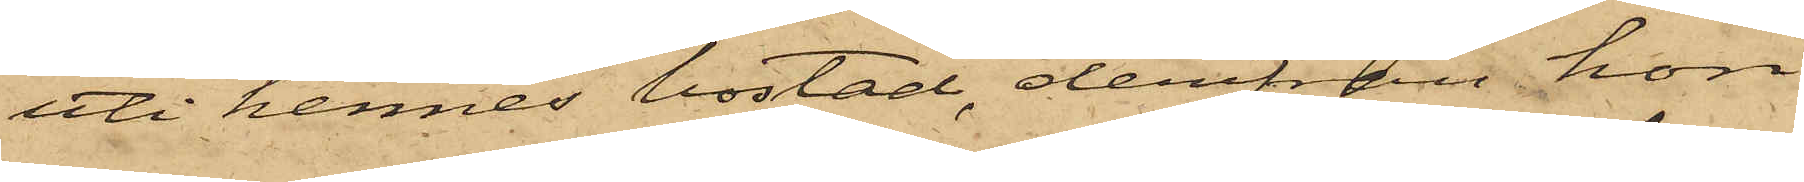uti hennes bostad, derifrån hon
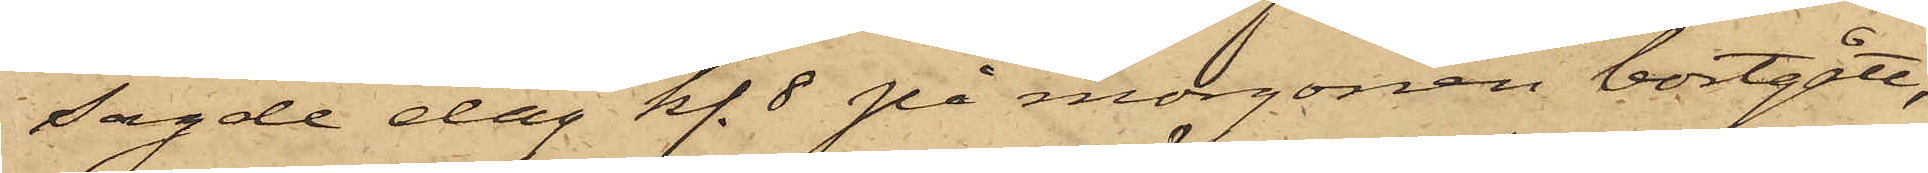sagde dag kl. 8 på morgonen bortgått,
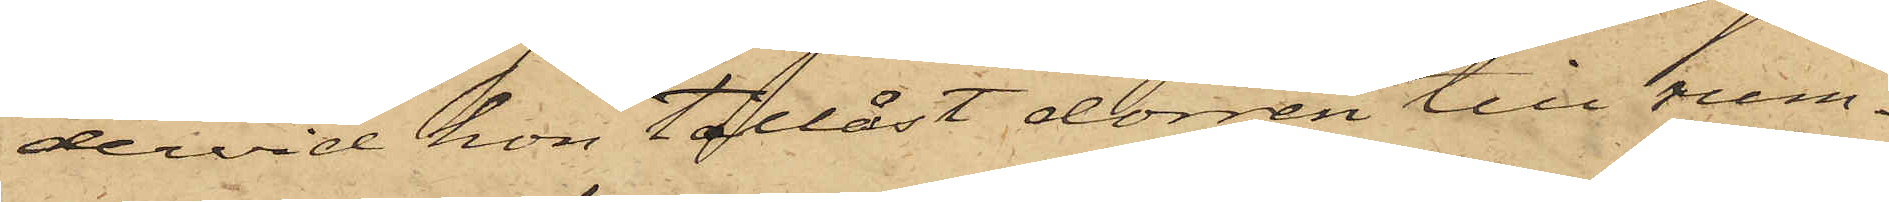dervid hon tillåst dörren till rum¬
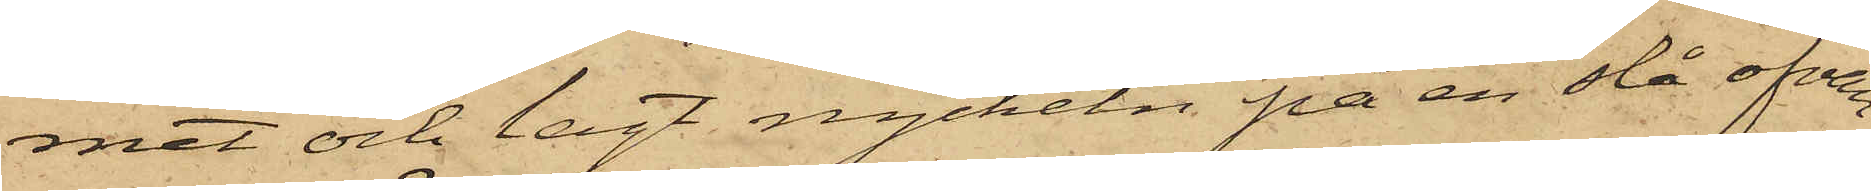met och lagt nyckeln på en slå ofvan¬
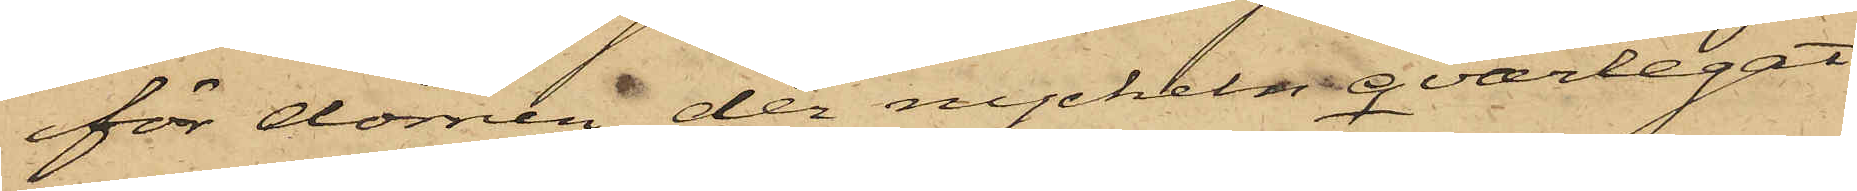för dörren, der nyckeln qvarlegat
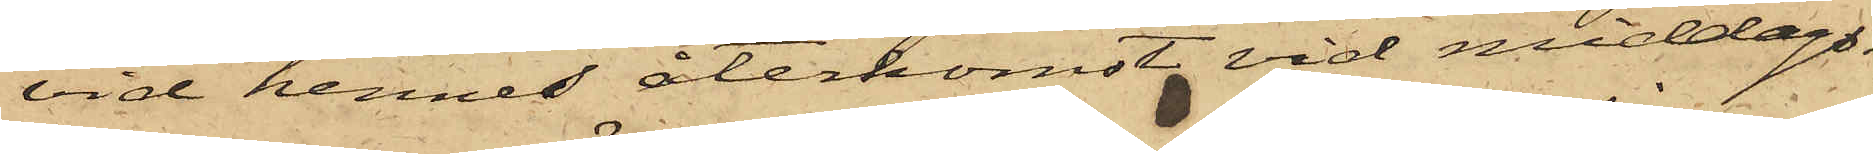vid hennes återkomst vid middags¬
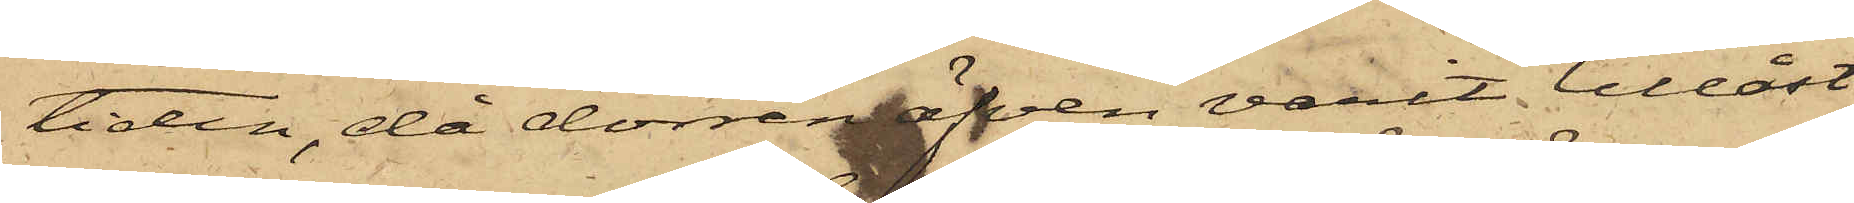tiden, då dörren äfven varit tillåst
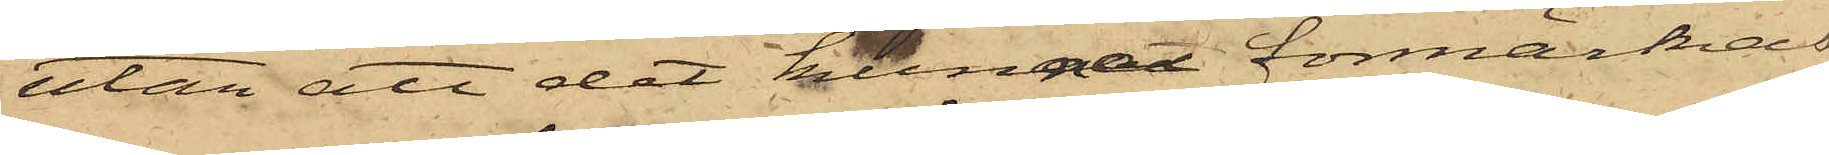utan att det kunnat förmärkas
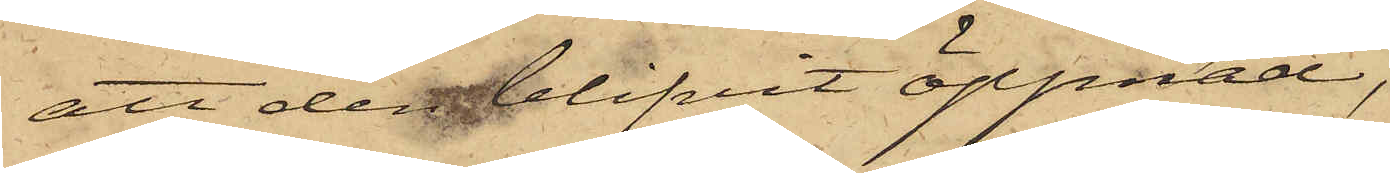att det blifvit öppnad,
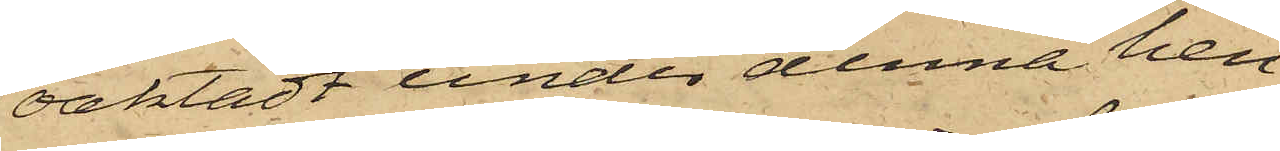oaktadt under denna hen¬
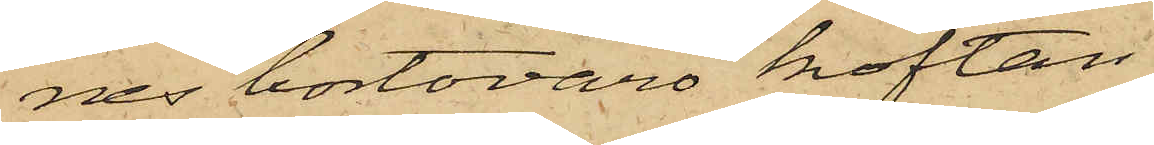nes bortovaro koftan
